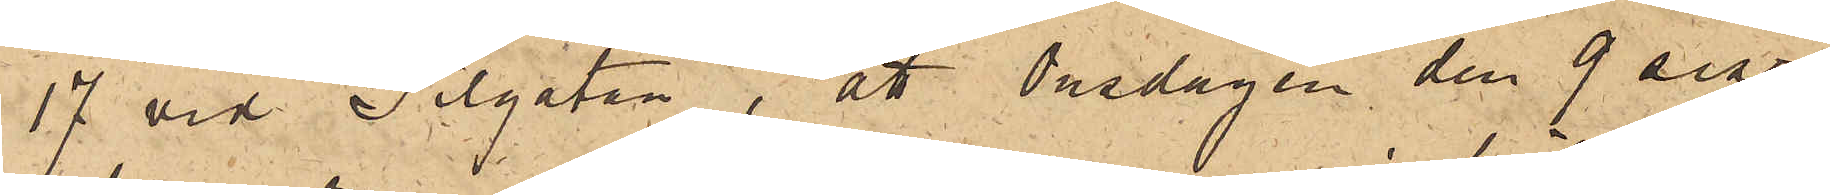17 vid Pilgatan, att Onsdagen den 9 sist.
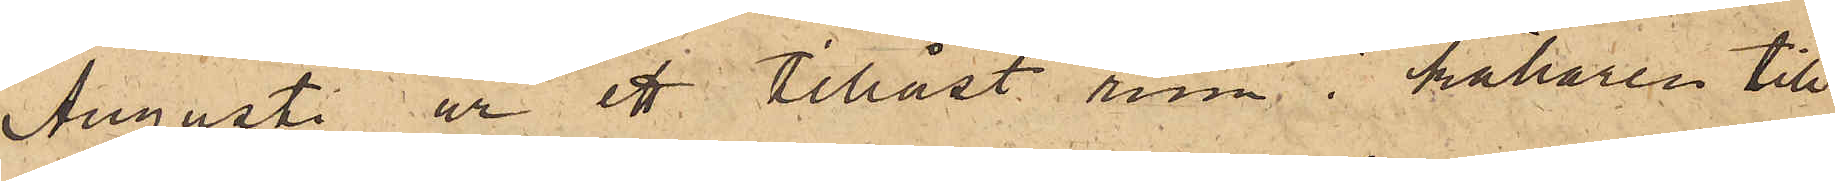Augusti ur ett tillåst rum i källaren till
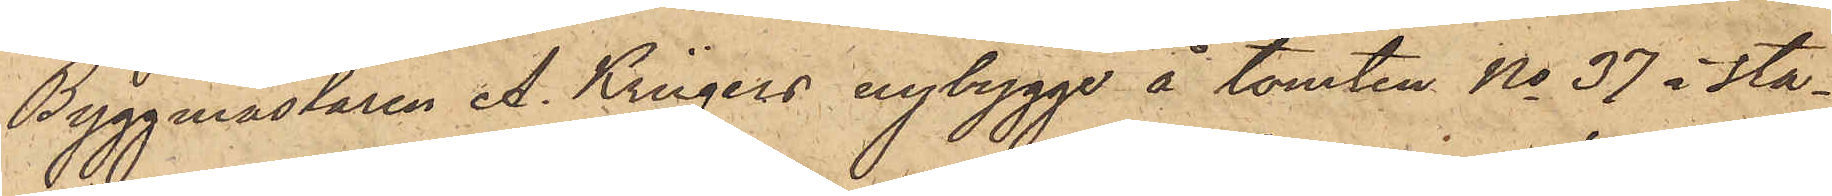Byggmästaren A. Krügers nybygge å tomten No 37 i sta¬
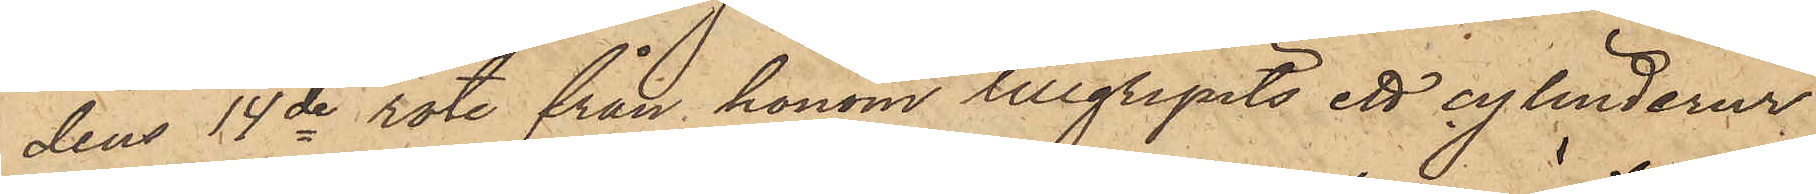dens 14de rote från honom tillgripits ett cylinderur
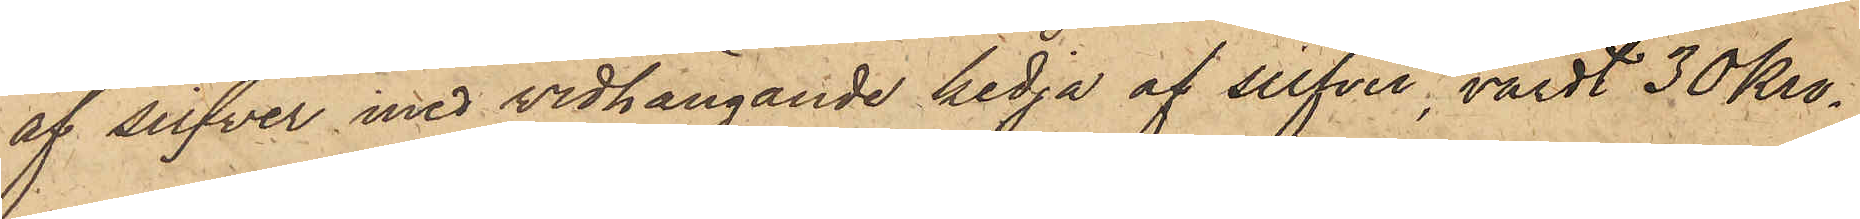af silfver med vidhängande kedja af silfver, värdt 30 Kro¬
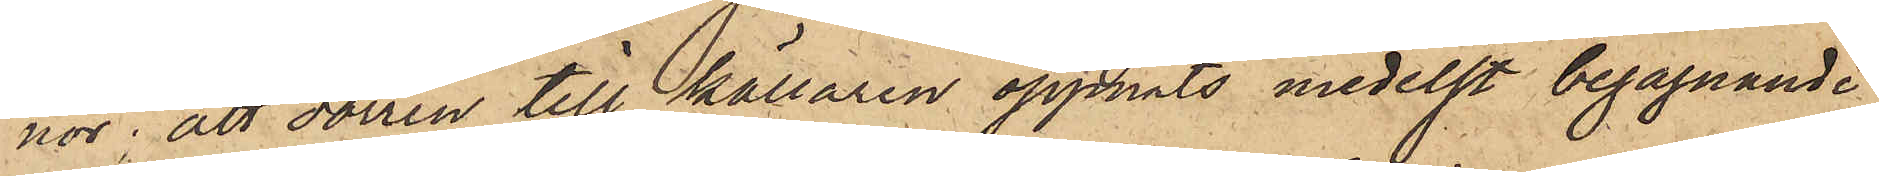nor; att dörren till källaren öppnats medelst begagnande
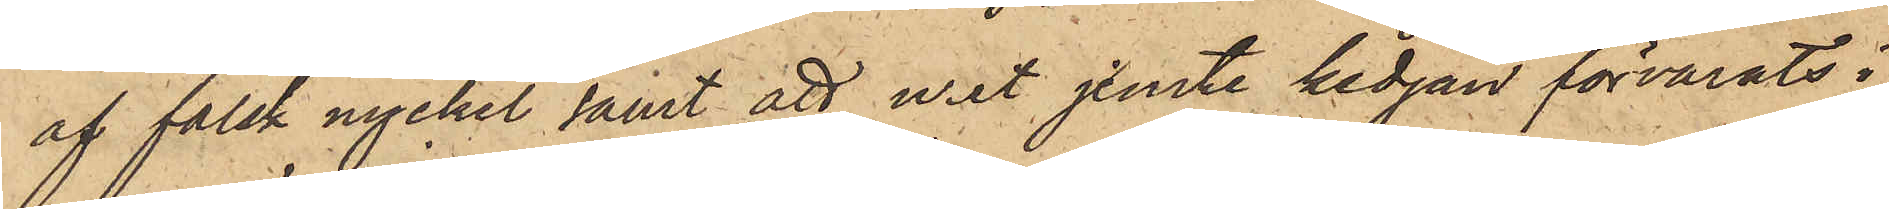af falsk nyckel samt att uret jemte kedjan förvarats i
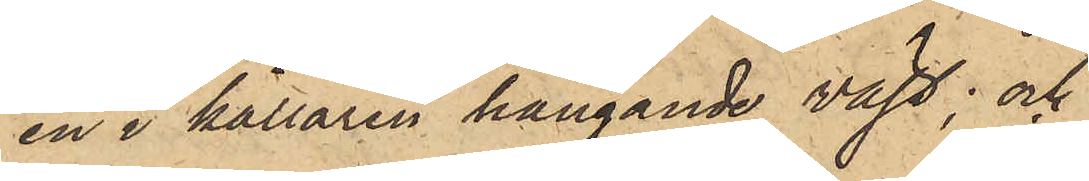en i källaren hängande väst; och
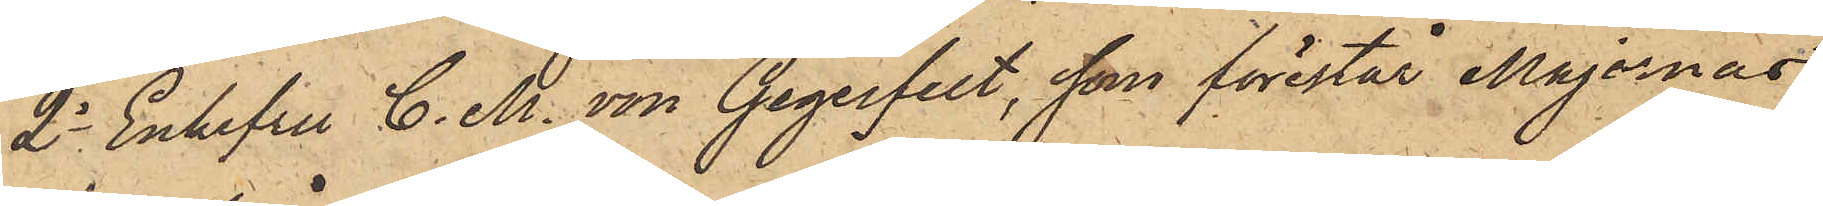2o Enkefru C. M. von Gegerfelt, som förestår Majornas
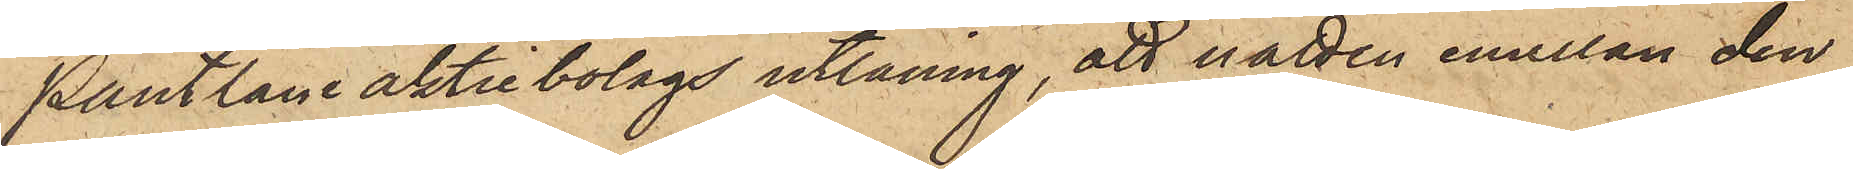Pantlåne aktiebolags utlåning, att natten emellan den
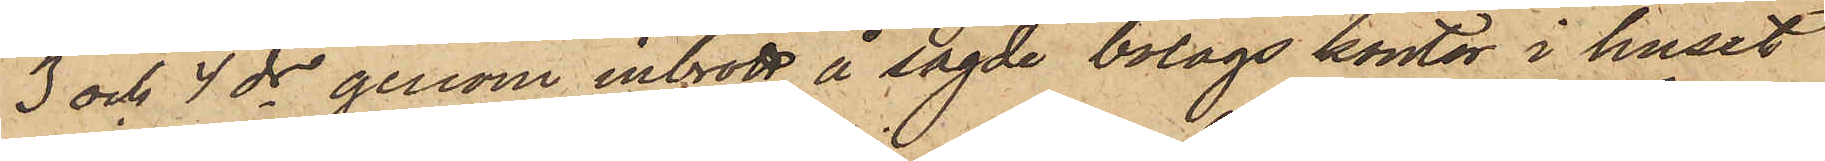3 och 4 ds genom inbrott å sagde bolags kontor i huset
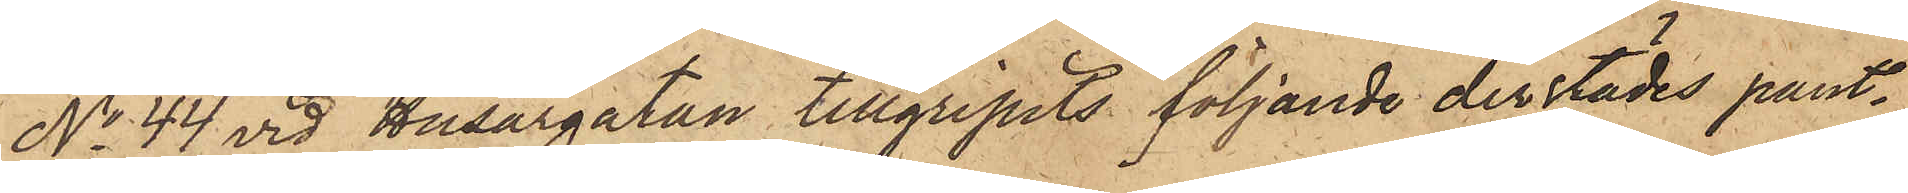No 44 vid Husargatan tillgripits följande derstädes pant¬
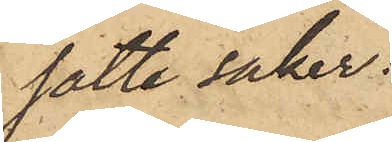satte saker.
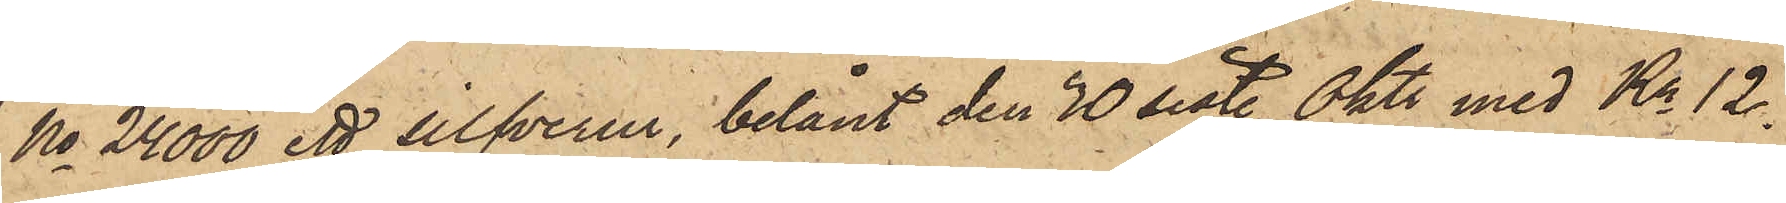No 24000 ett silfverur, belånt den 30 sist. Oktr med Kr 12.
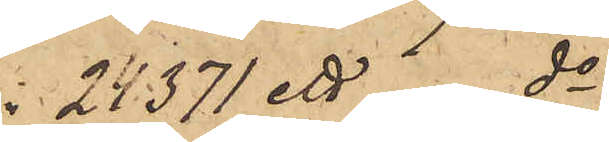 24371 ett  do
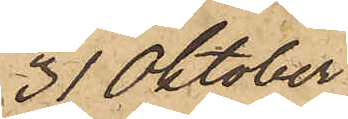31 Oktober
